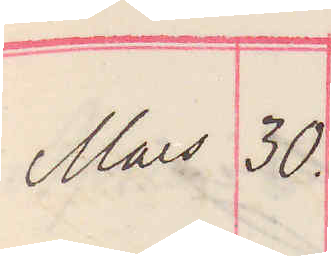Mars 30.
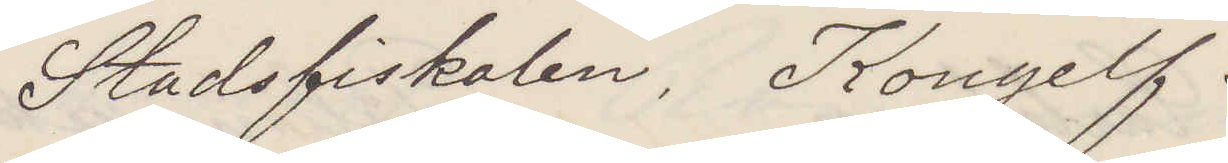Stadsfiskalen, Kongelf.
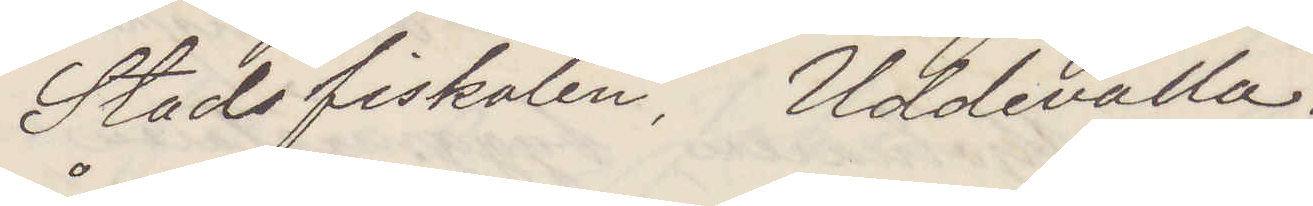Stadsfiskalen, Uddevalla
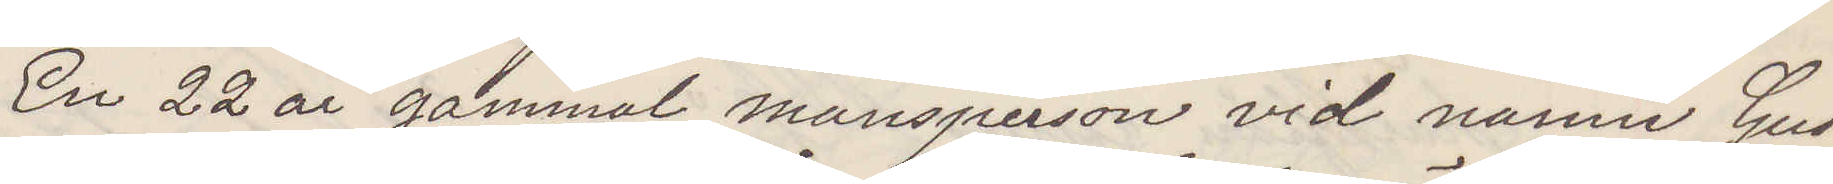En 22 år gammal mansperson vid namn Gus¬
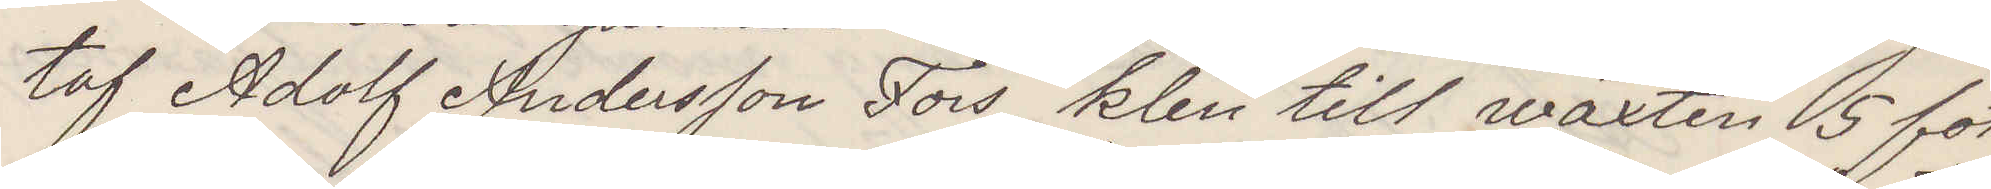taf Adolf Andersson Fors, klen till wäxten 5 fot
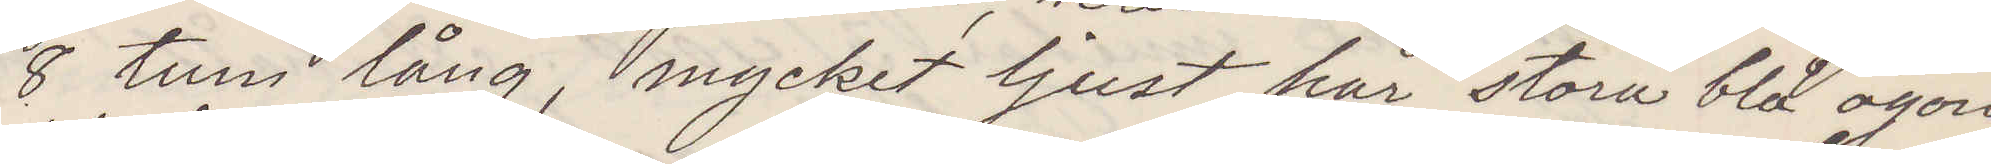8 tum lång, mycket ljust hår stora blå ögon
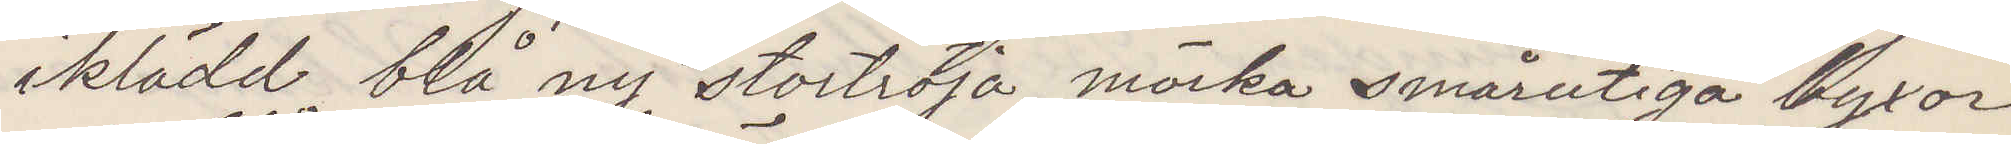iklädd blå ny stortröja mörka smårutiga byxor
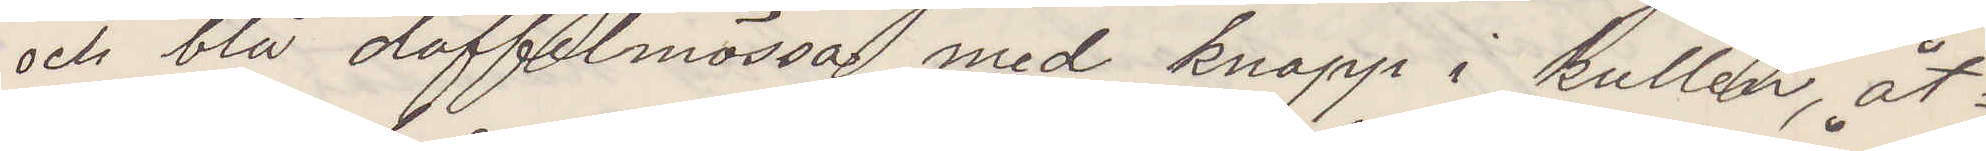och blå doffelmössa med knapp i kullen, åt¬
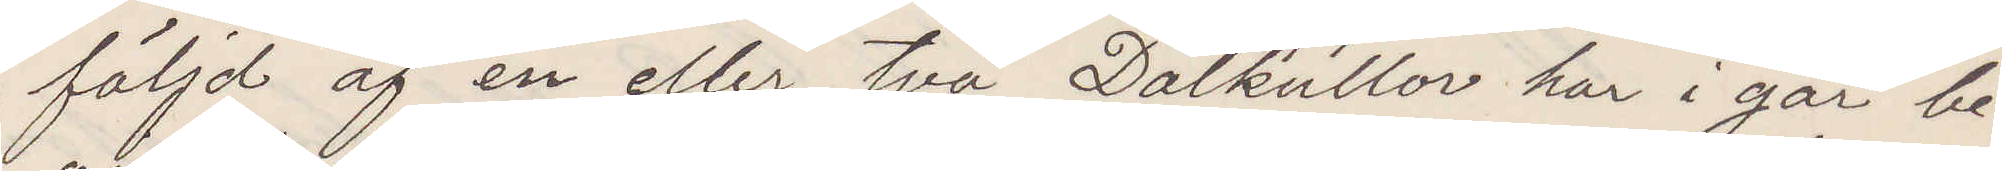följd af en eller två Dalkullor har i går be¬
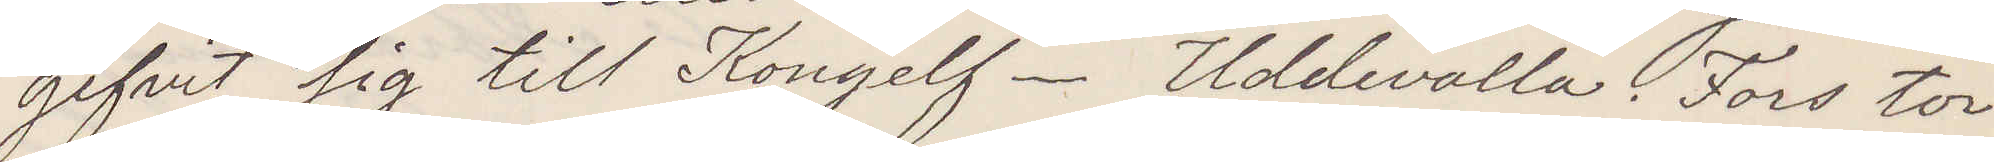gifvit sig till Kongelf. Uddevalla. Fors tor¬
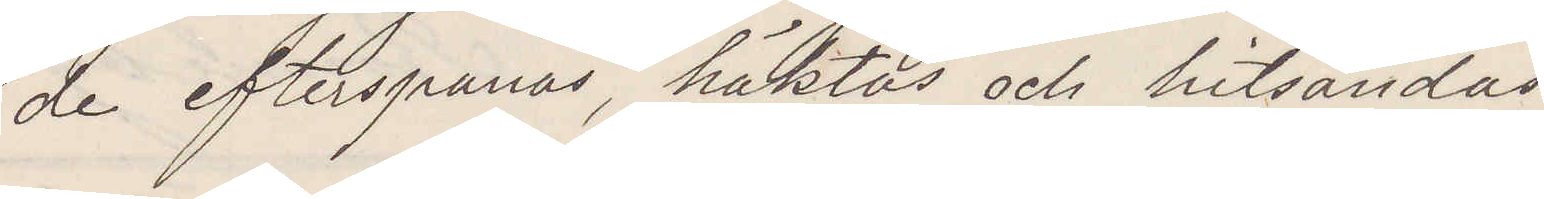de efterspanas, häktas och hitsändas.
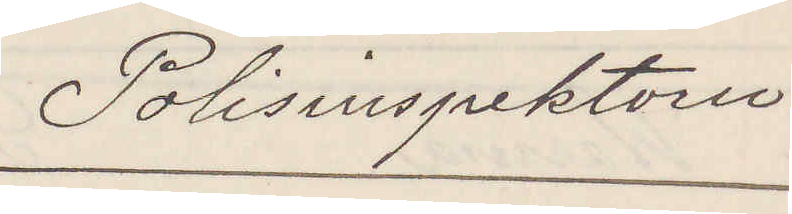Polisinspektorn
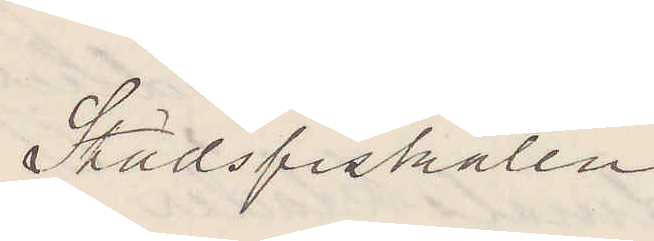Stadsfiskalen
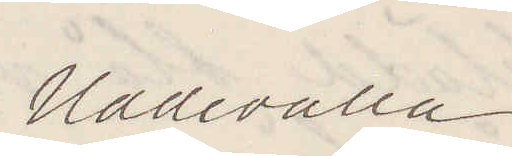Uddevalla
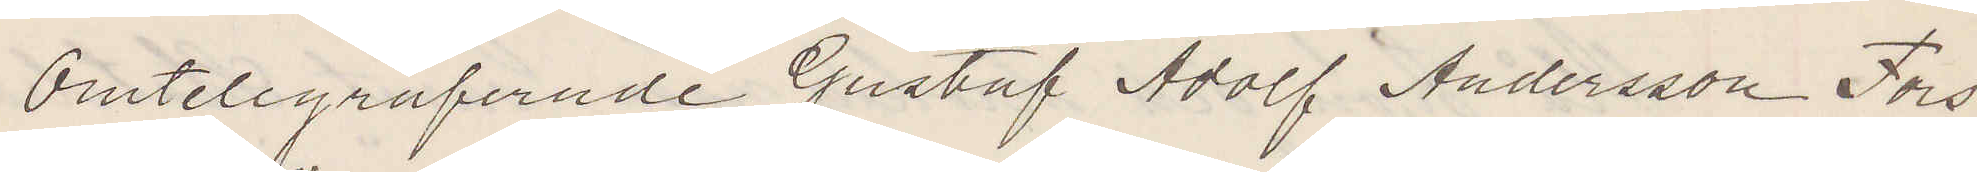Omtelegraferade Gustaf Adolf Andersson Fors
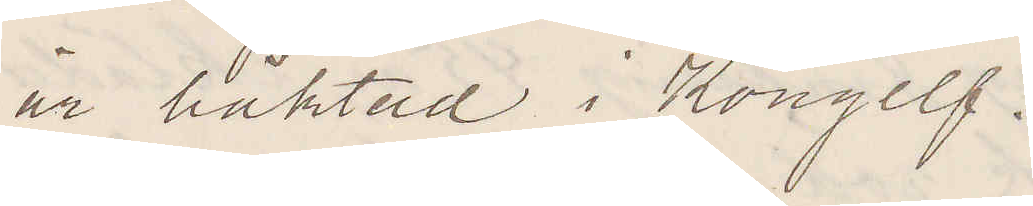är häktad i Kongelf.
